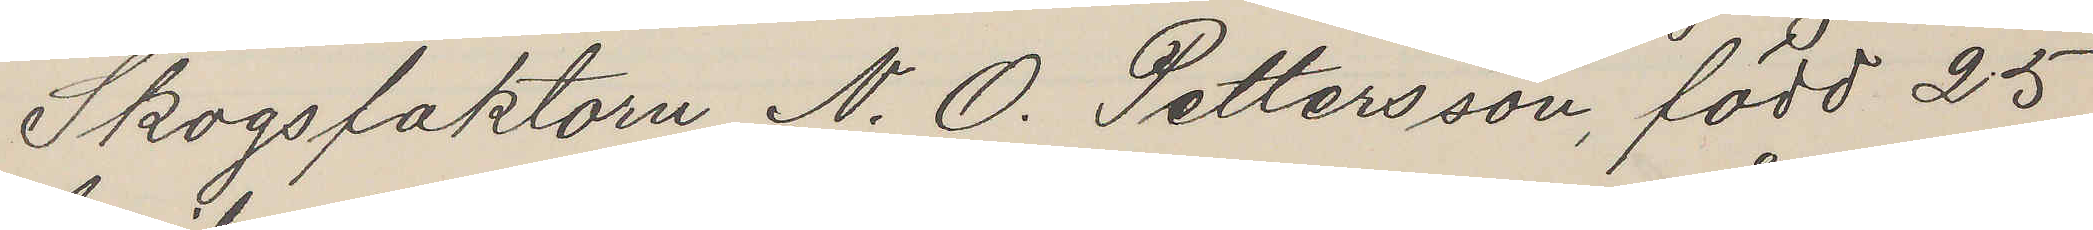Skogsfaktorn N. O. Pettersson, född 25
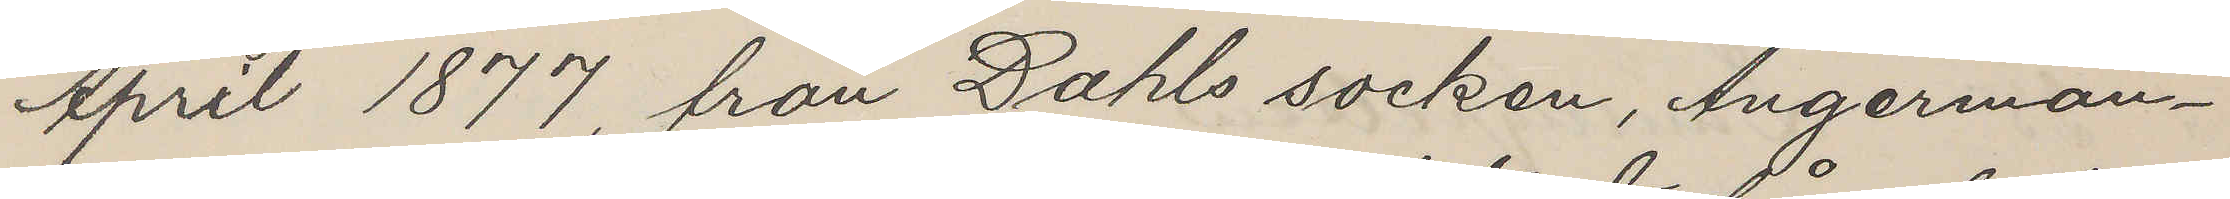April 1877, från Dahls socken, Ångerman¬
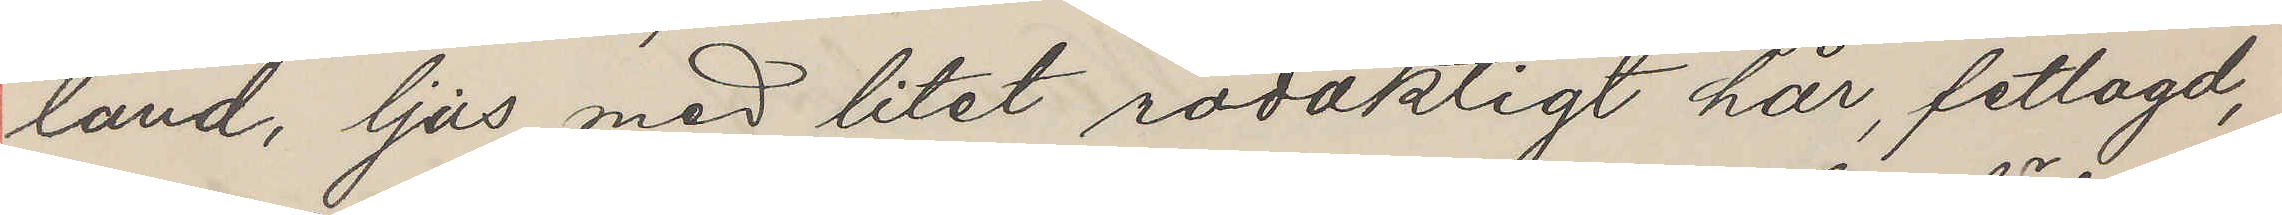land, ljus med litet rödaktigt hår, fetlagd,
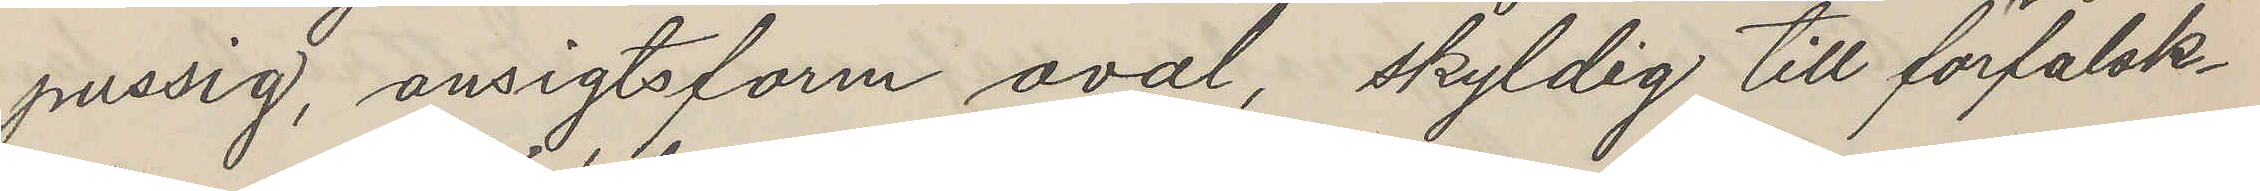pussig, ansigtsform åval, skyldig till förfalsk¬
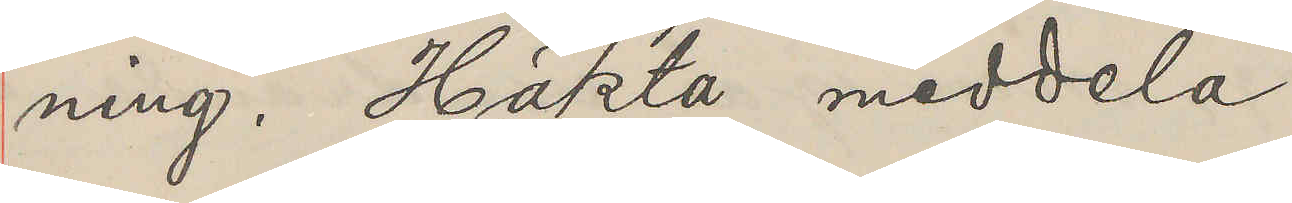ning. Häkta meddela
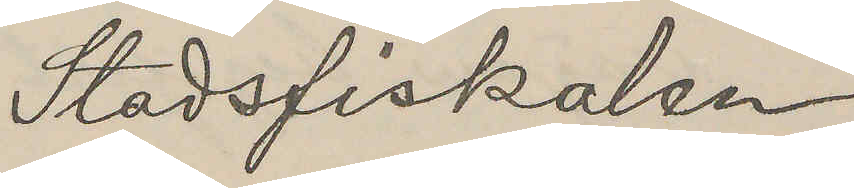Stadsfiskalen
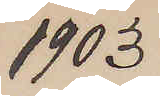1903
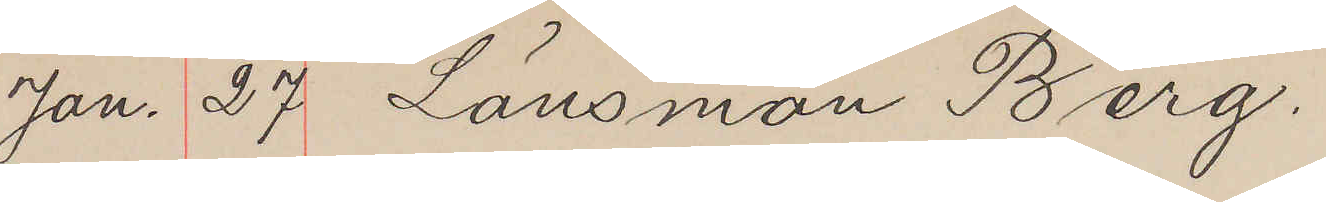Jan. 27. Länsman Berg.
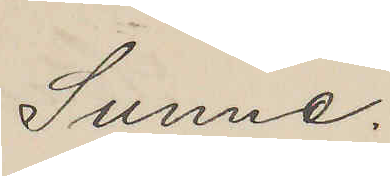Sunne.
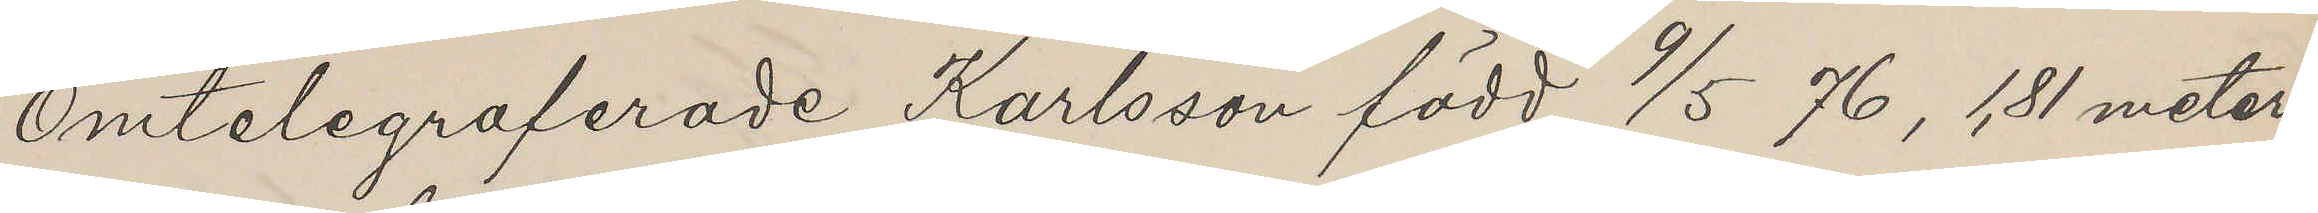Omtelegraferade Karlsson född 9/5 76, 1,81 meter
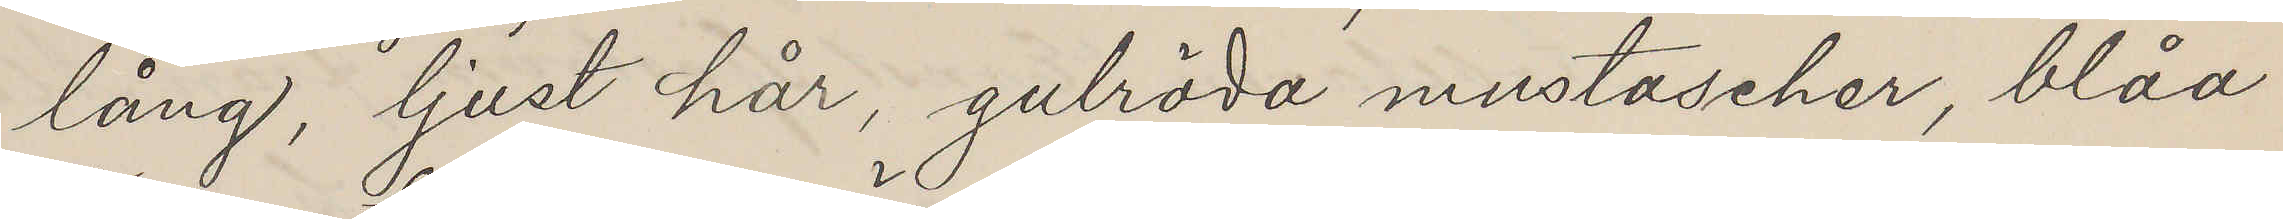lång, ljust hår, gulröda mustascher, blåa
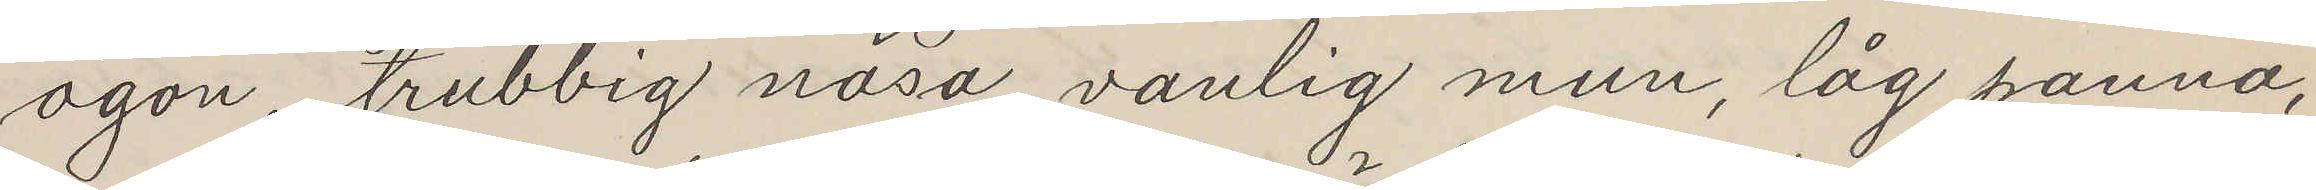ögon, trubbig näsa, vanlig mun, låg panna,
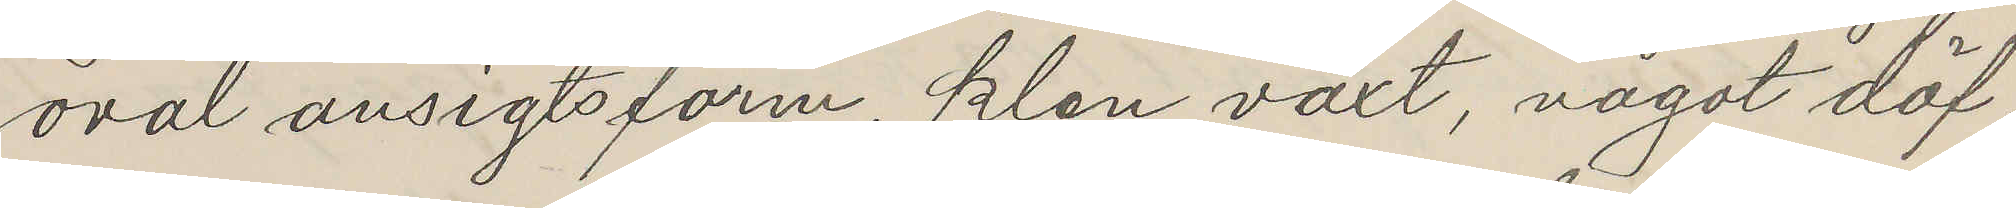oval ansigtsform, klen växt, något döf.
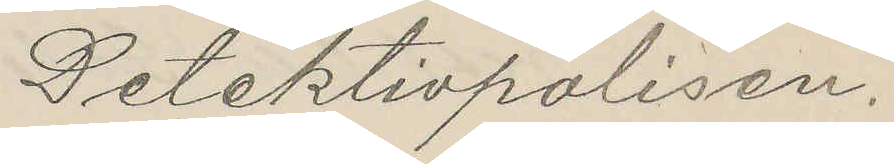Detektivpolisen.
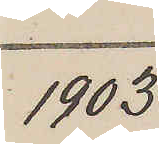1903
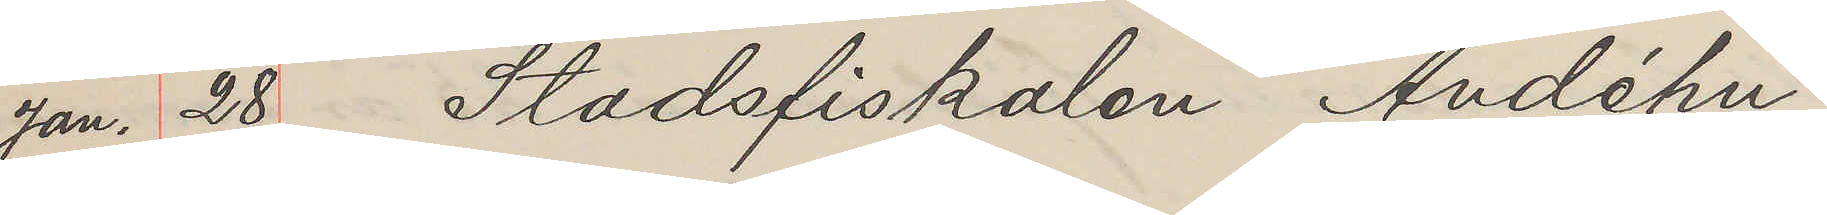Jan. 28 Stadsfiskalen Andéhn
